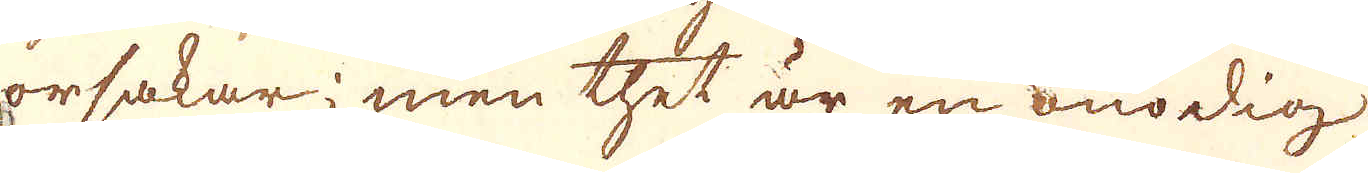orsakar; men thet är en onödig
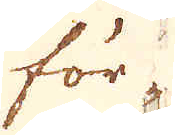för-
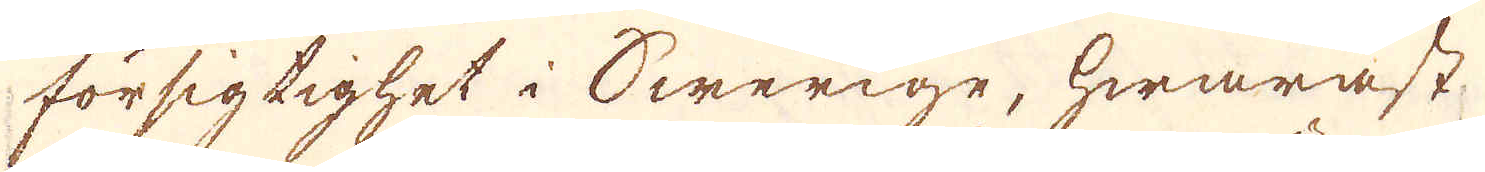försigtighet i Swerige, hwaräst
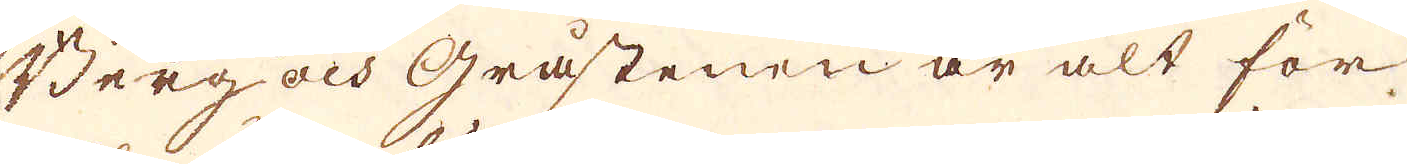Berg och gråstenen är alt för
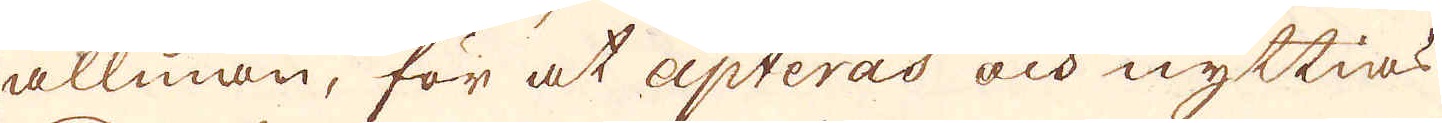allmän, för at apteras och nyttias
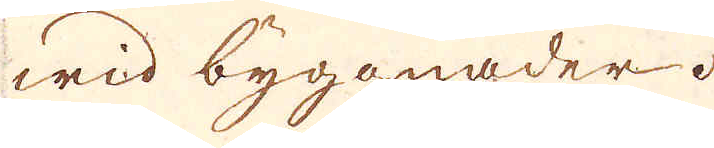wid byggnader.
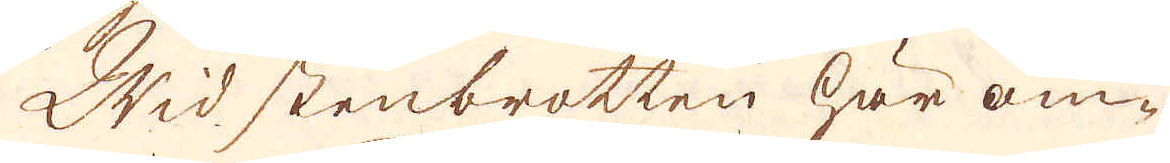Wid stenbrotten här om-
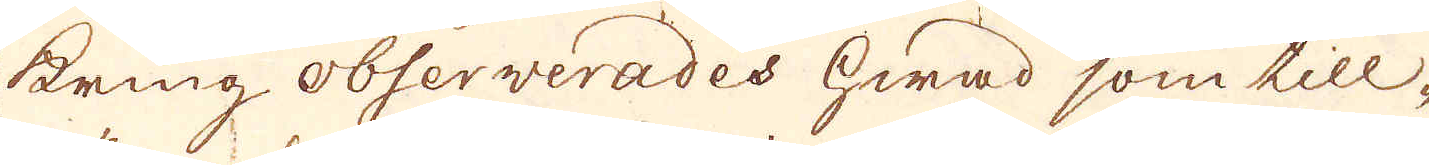kring observerades hwad som till-
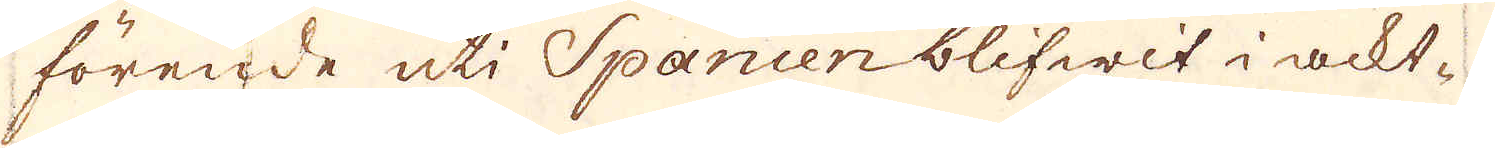förende uti Spanien blifwit i ackt-
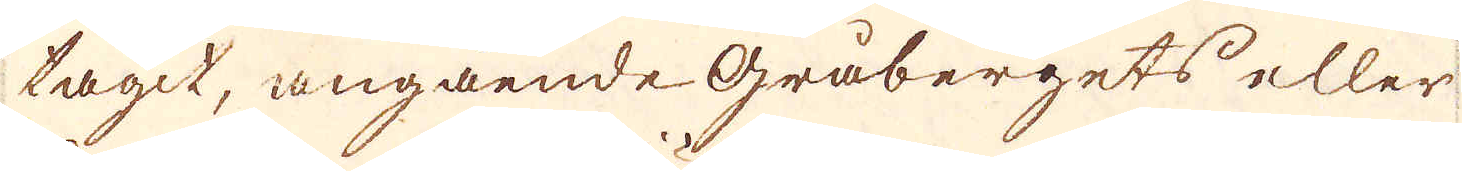tagit, angående gråbergets eller
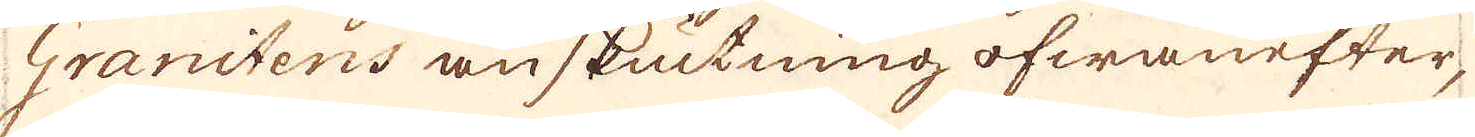Granitens anskiutning ofwanefter,
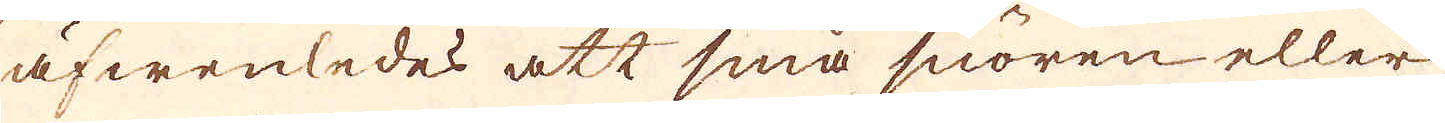äfwenledes att små snören eller
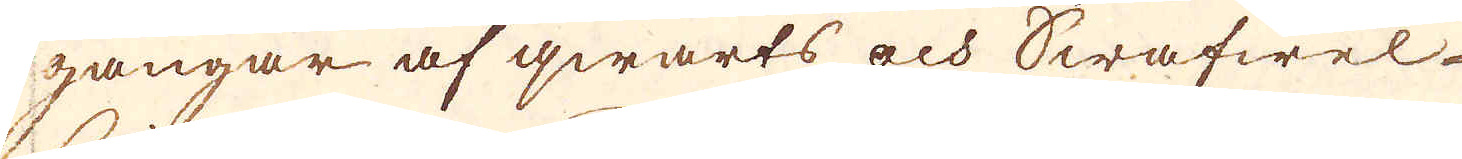gangar af qwarts och Swafwel-
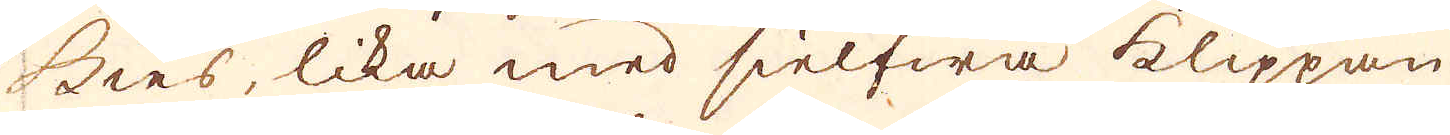kies, lika med sielfwa klippan
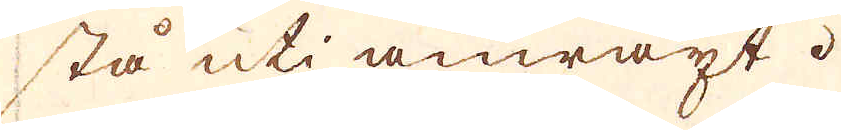stå uti anwäxt.
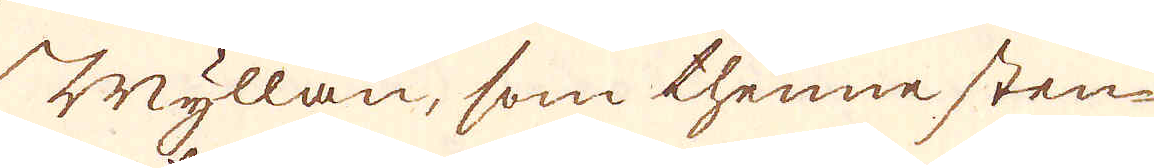Myllan, som thenne sten-
